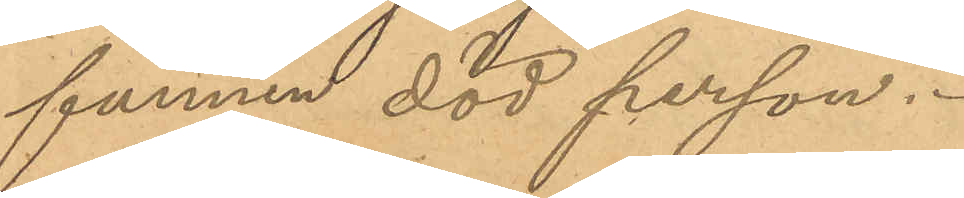funnen död person.
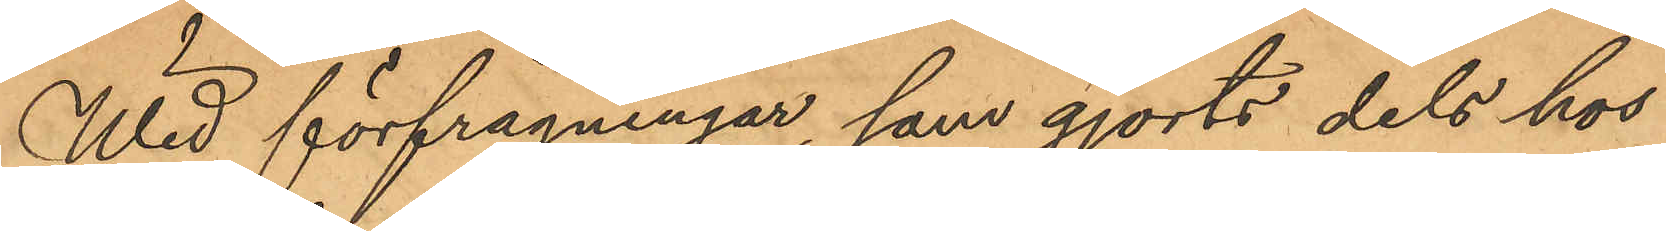Wid förfrågningar, som gjorts dels hos
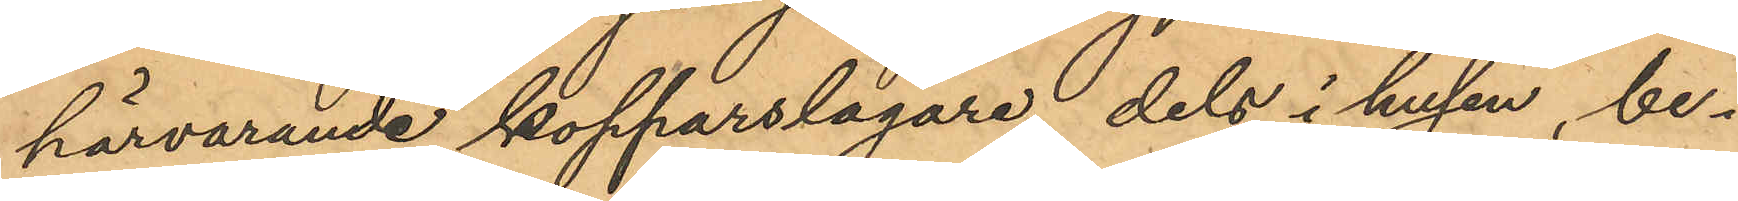härvarande kopparslagare, dels i husen, be¬
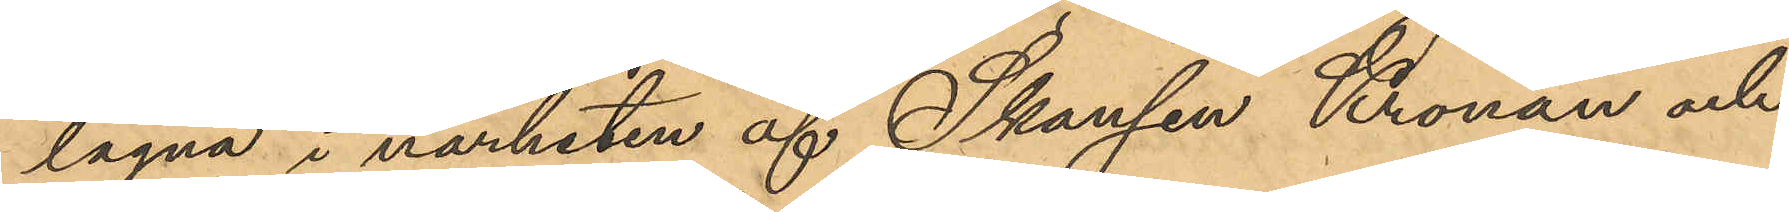lägna i närheten af Skansen Kronan och
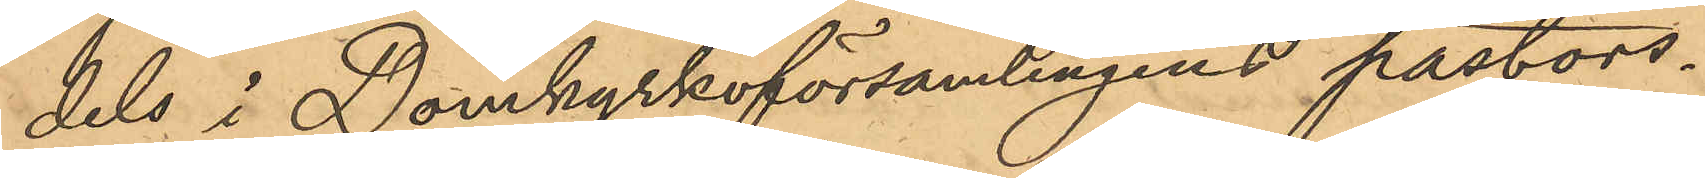dels i Domkyrkoförsamlingens pastors¬
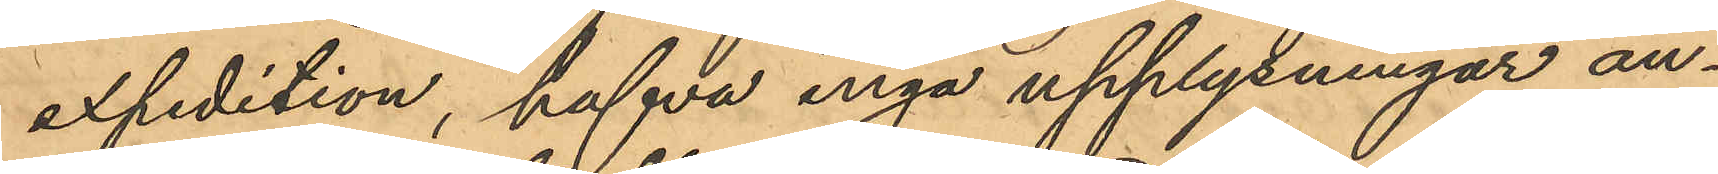expedition, hafva inga upplysningar an¬
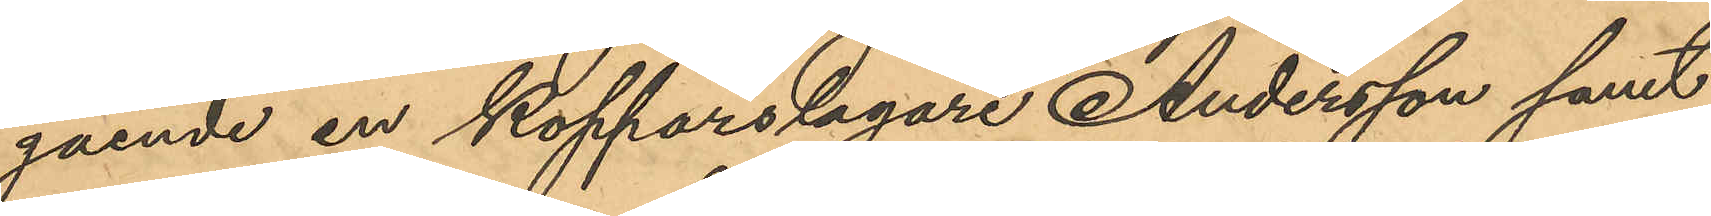gående en kopparslagare Andersson samt
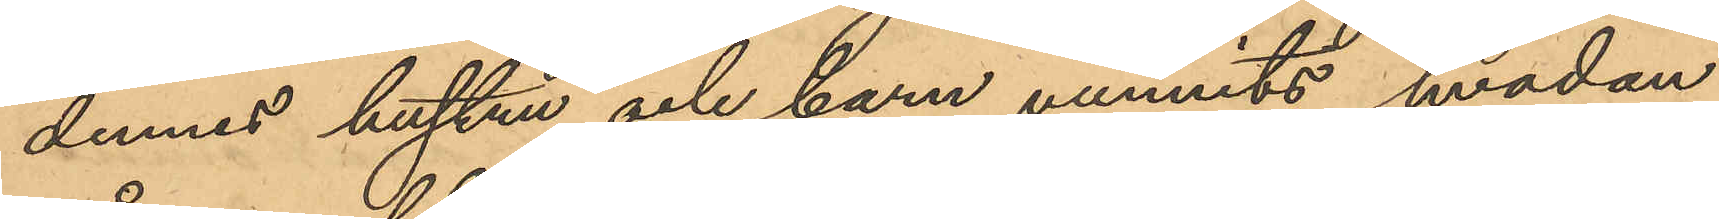dennes hustru och barn vunnits, hvadan
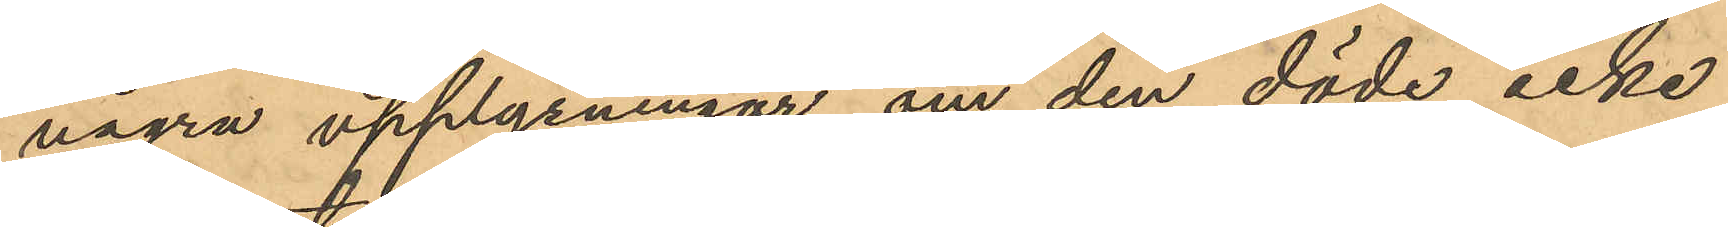några upplysningar om den döde icke
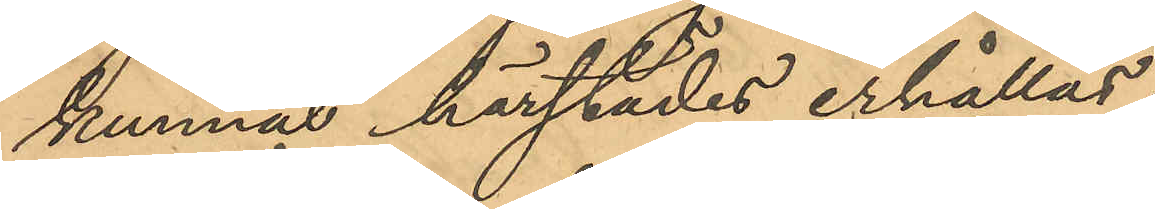kunnat härstädes erhållas.
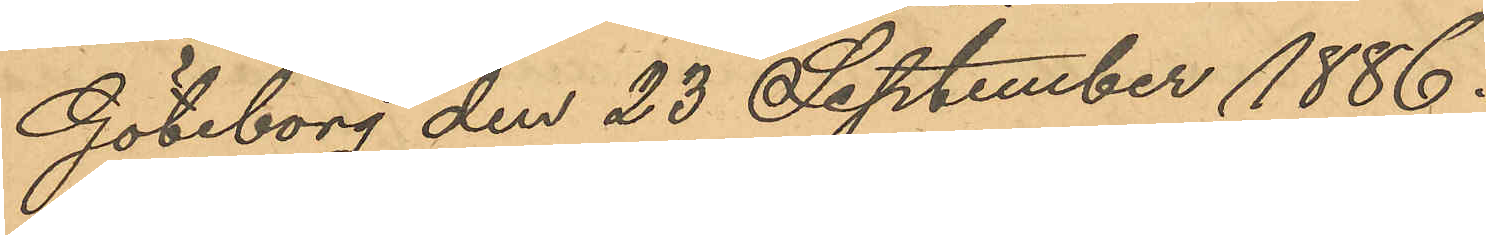Göteborg den 23 September 1886.
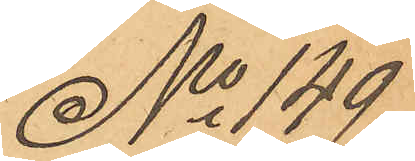No 149
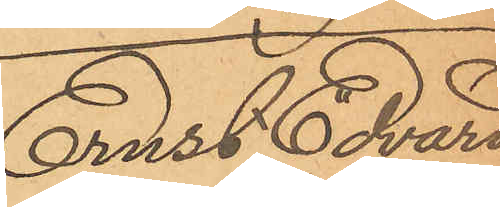Ernst Edvard
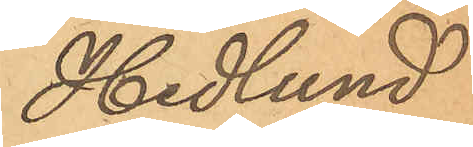Hedlund
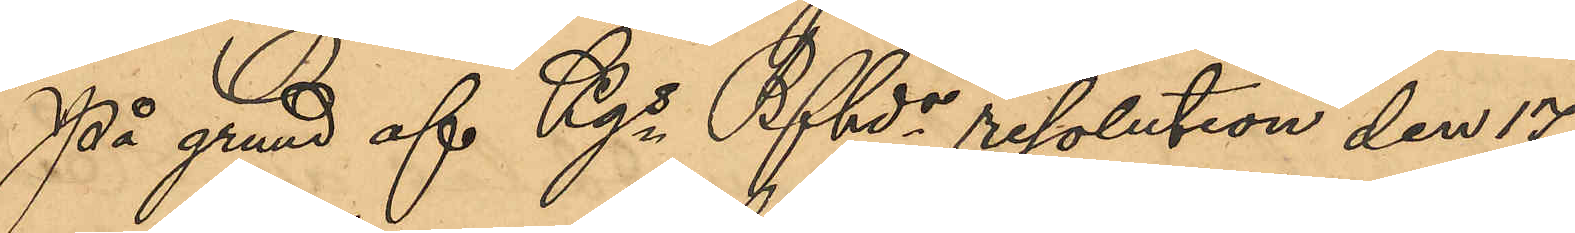På grund af Kgs Bfhds resolution den 17
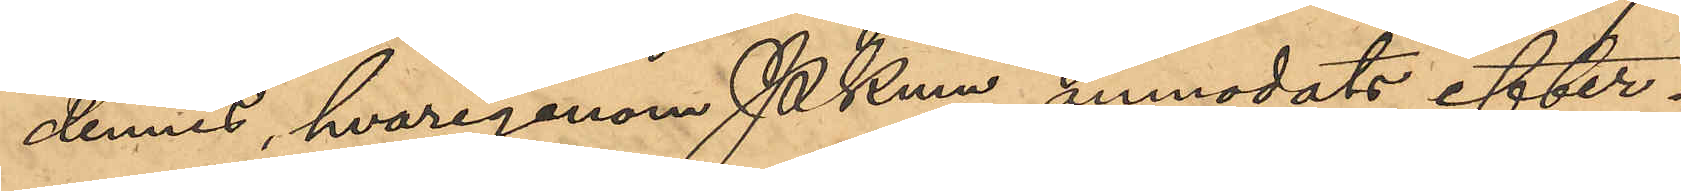dennes, hvarigenom Pkmn anmodats efter¬
